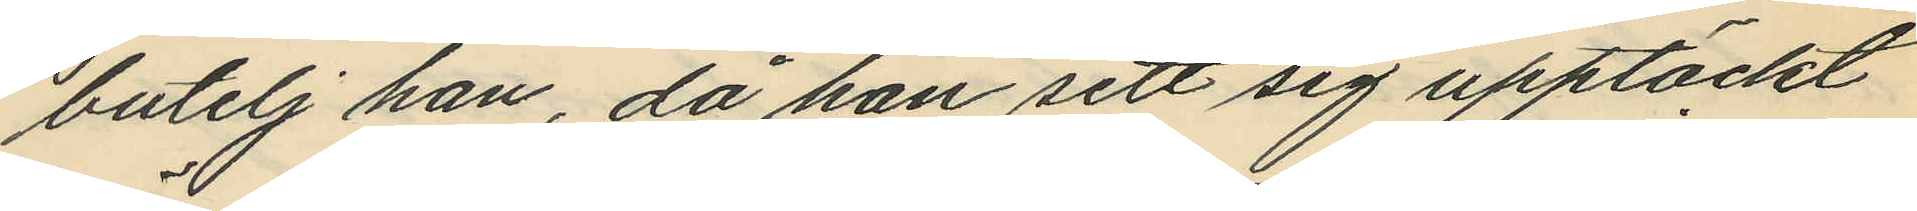butelj han, då han sett sig upptäckt
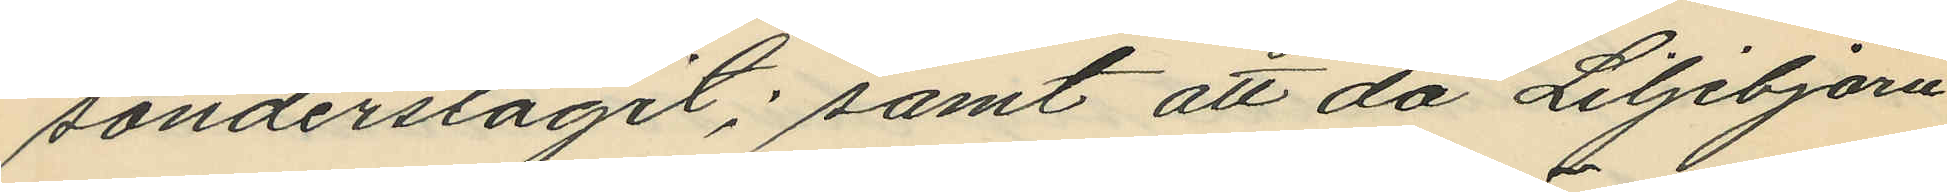sönderslagit; samt att då Liljebjörn
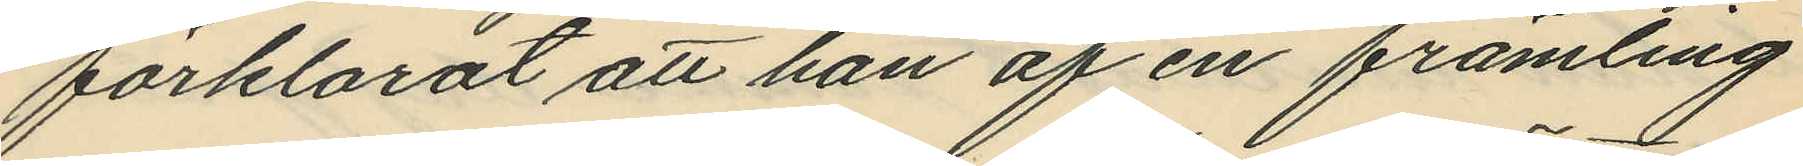förklarat att han af en främling
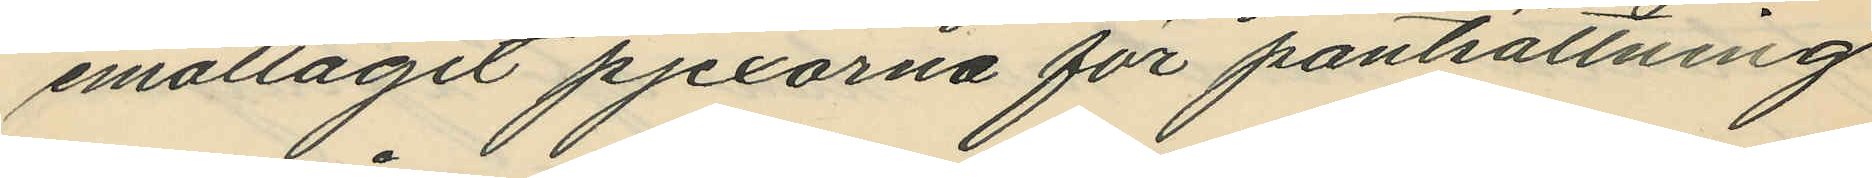emottagit pjexorna för pantsättning
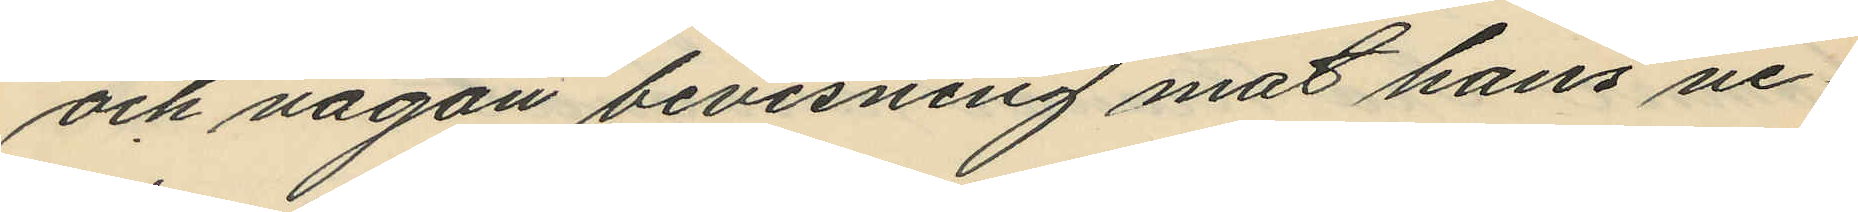och någon bevisning mot hans ne¬
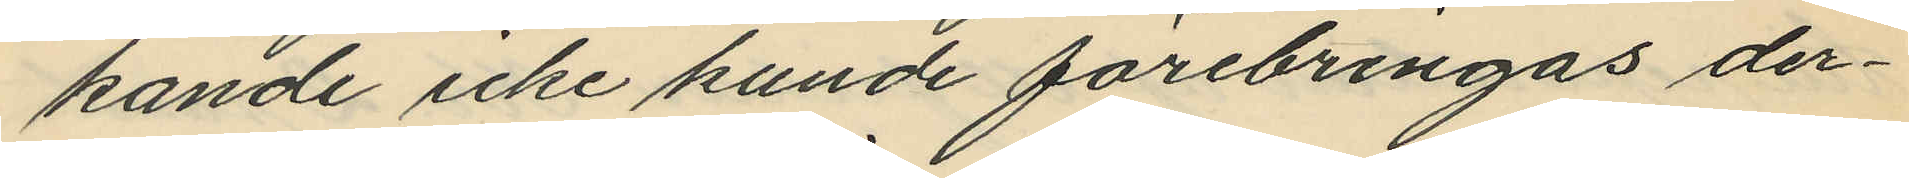kande icke kunde förebringas der¬
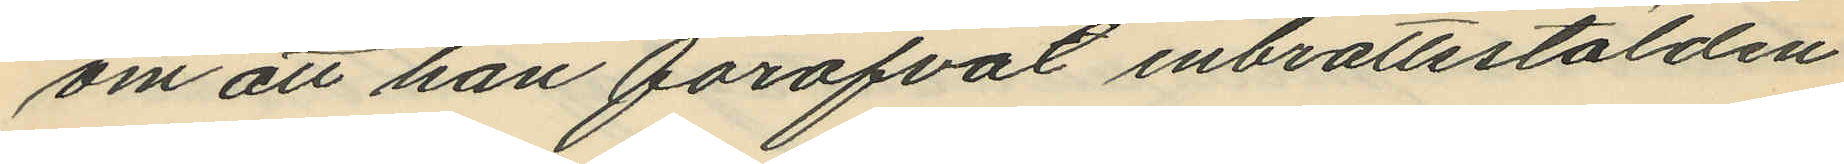om att han föröfvat inbrottsstölden
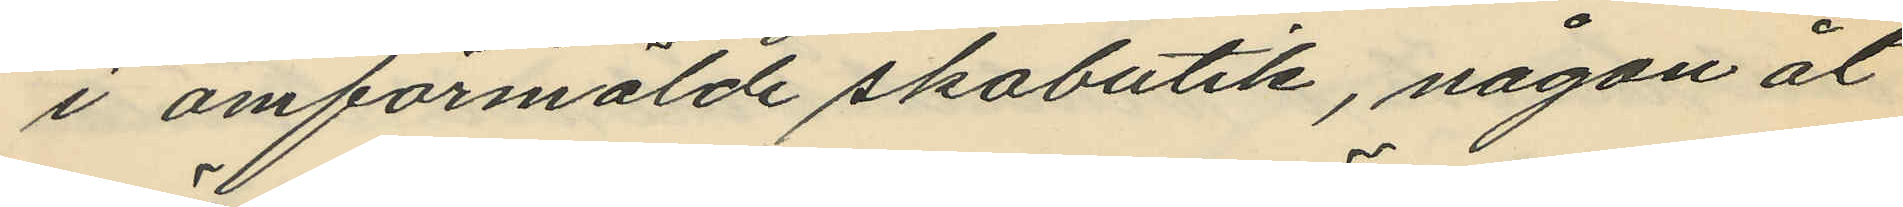i omförmälde skobutik, någon åt¬
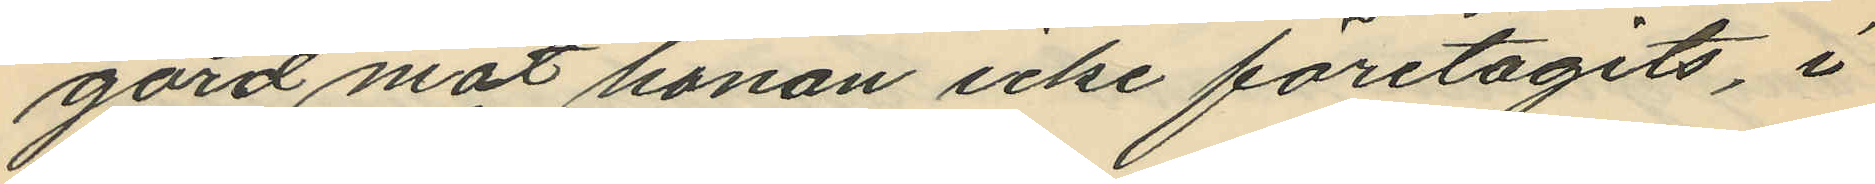gärd mot honom icke företagits, i
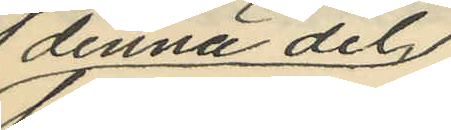denna del,
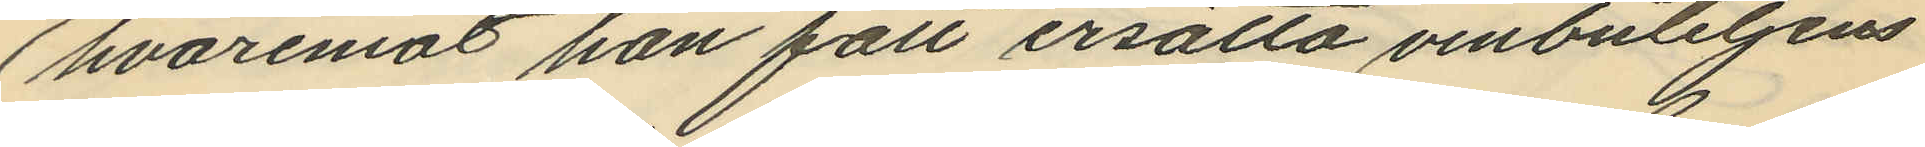hvaremot han fått ersätta vinbuteljens
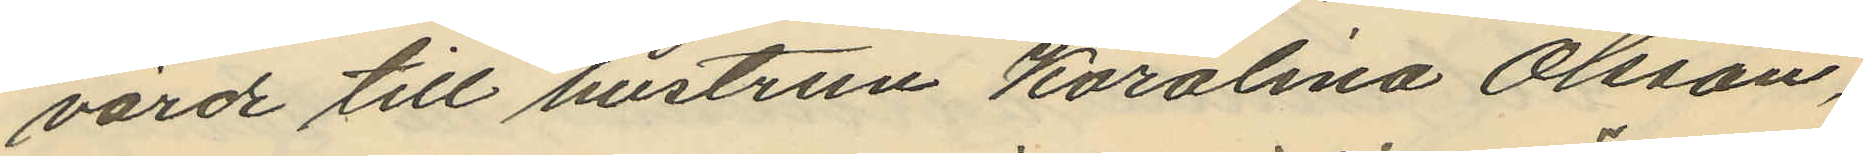värde till hustrun Karolina Olsson,
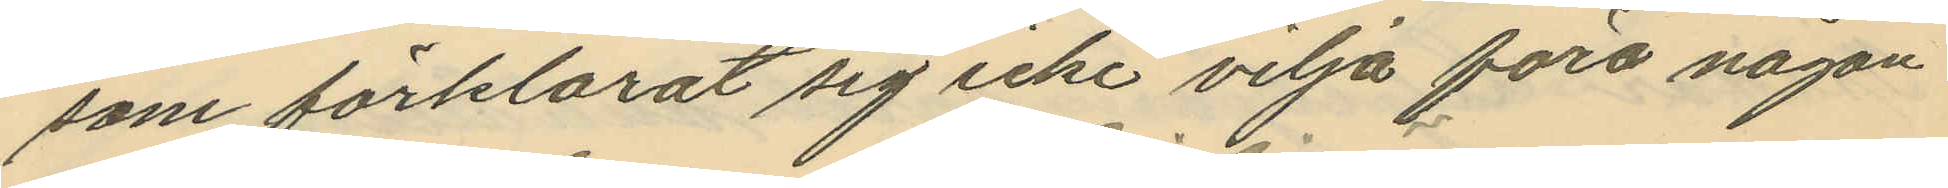som förklarat sig icke vilja föra någon
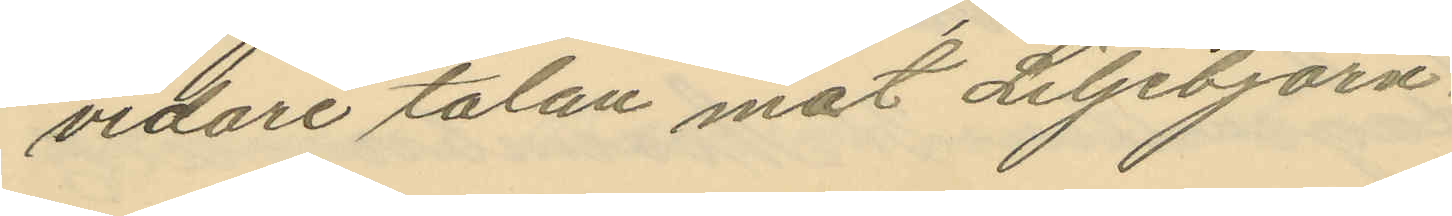vidare talan mot Liljebjörn.
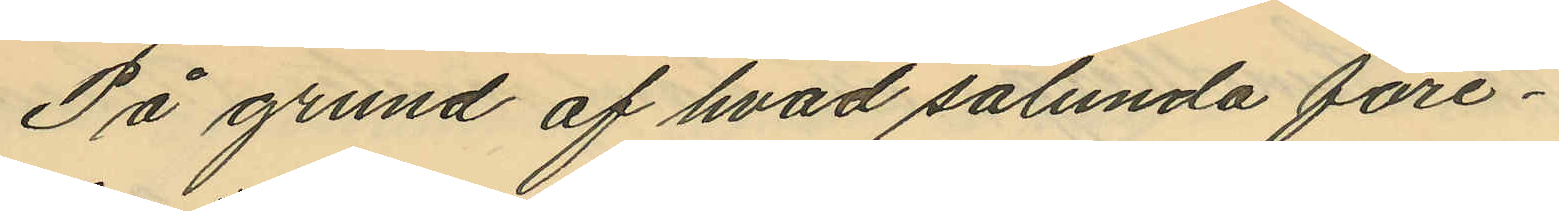På grund af hvad sålunda före¬
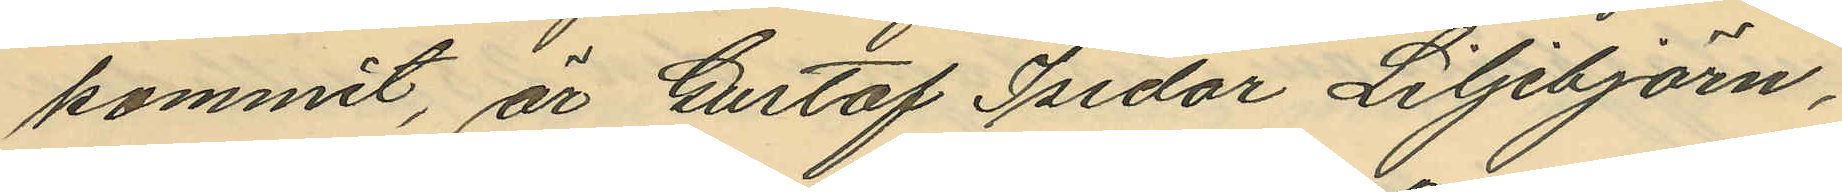kommit, är Gustaf Isidor Liljebjörn,
